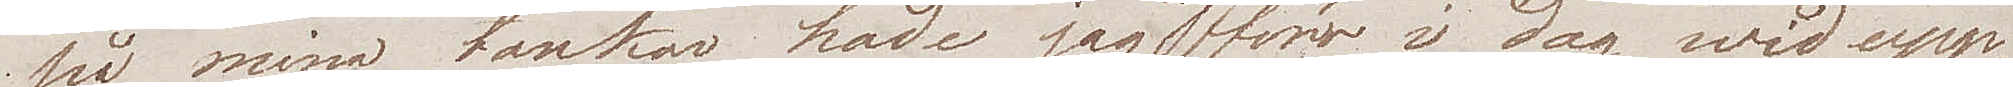på mina tankar hade jag ej förrän i dag wid upp¬
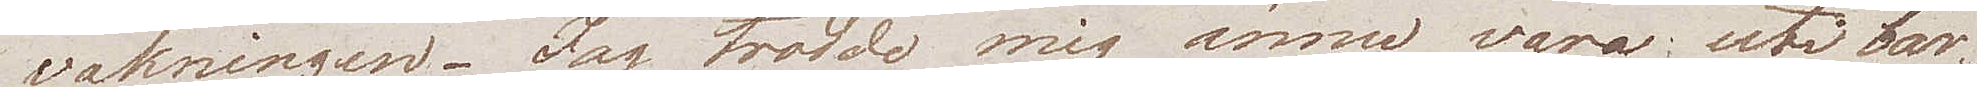vakningen. Jag trodde mig ännu vara uti bar¬
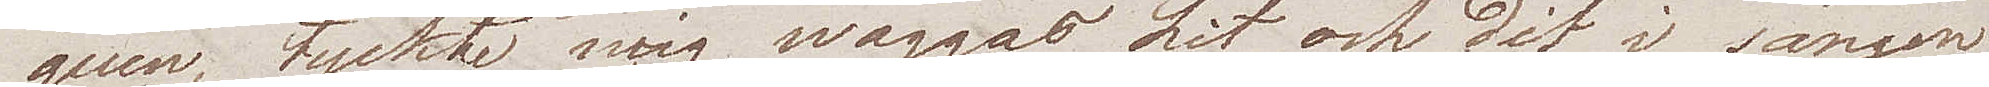quen, tyckte mig waggas hit och dit i sängen
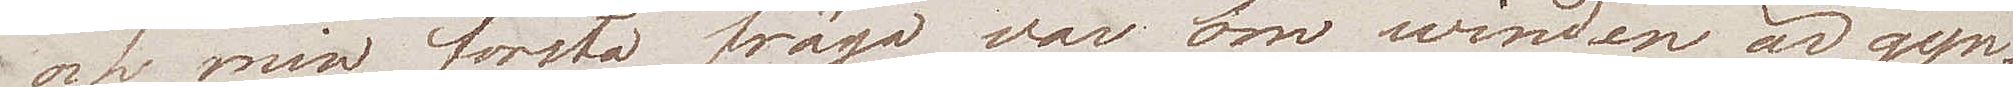och min första fråga var om winden är gyn¬
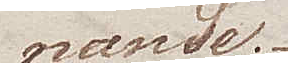nande.
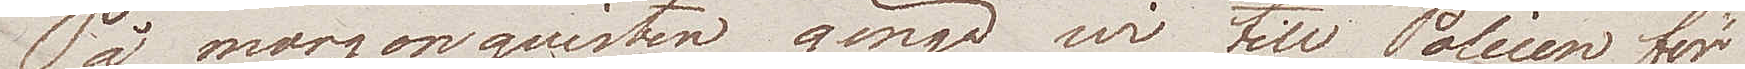På morgonqvisten gingo wi till Polisen för
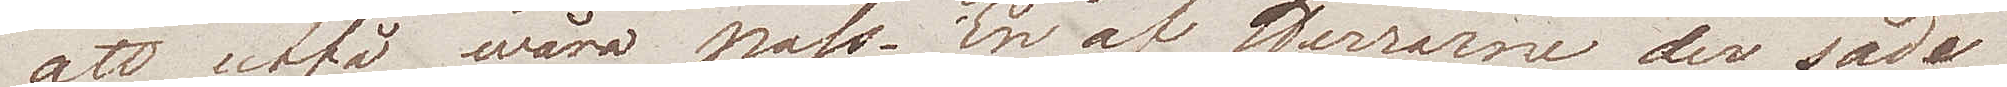att utfå wåra pass. En af Herrarne der sade
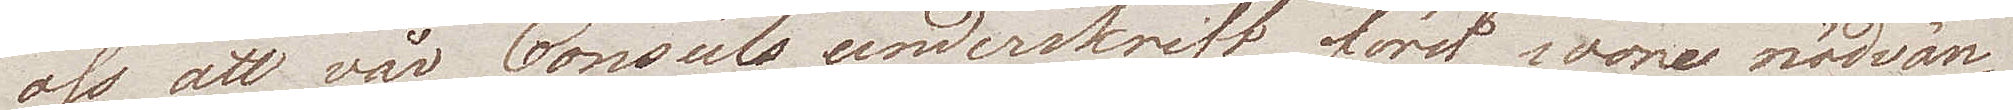oss att vår Consuls underskrift först vore nödvän¬
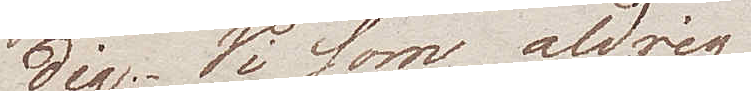dig. Wi som aldrig
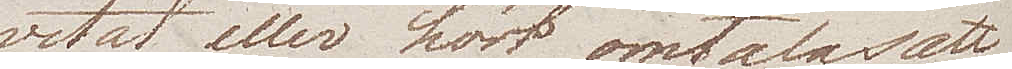vetat, eller hört omtalas att
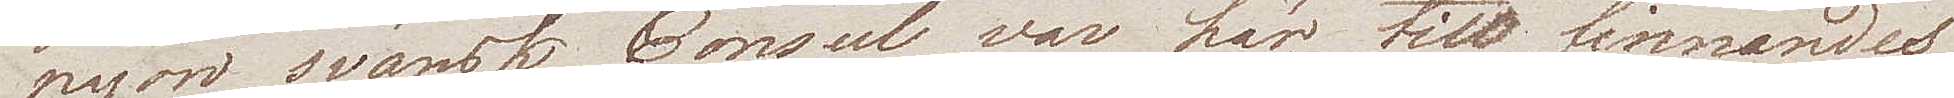någon svänsk Consul var här till finnandes
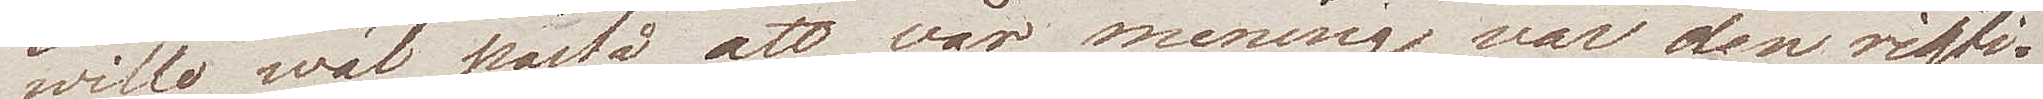wille wäl påstå att vår mening var den rigti¬
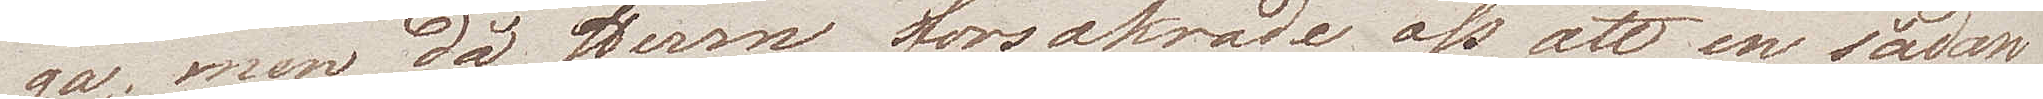ga, men då Herrn försäkrade oss att en sådan
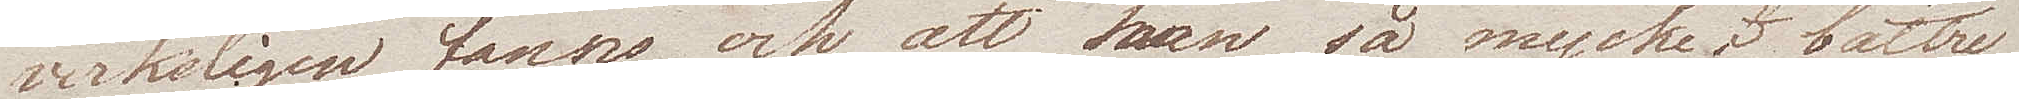verkligen fanns och att han så mycket bättre
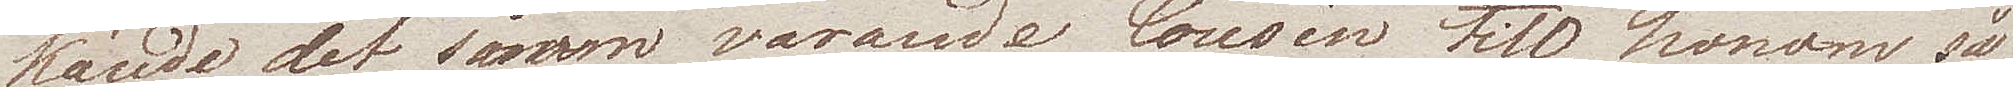kände det såsom varande Cousin till honom så
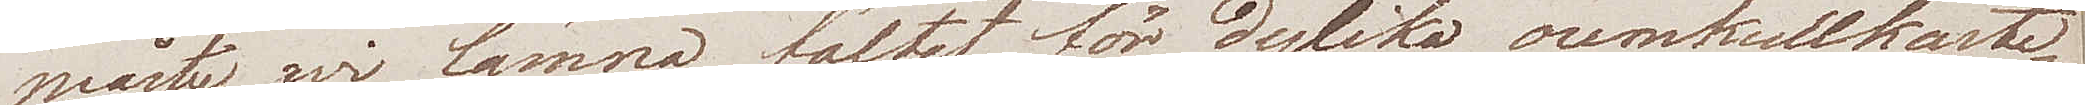måste wi lämna fältet för dylika oomkullkaste¬
